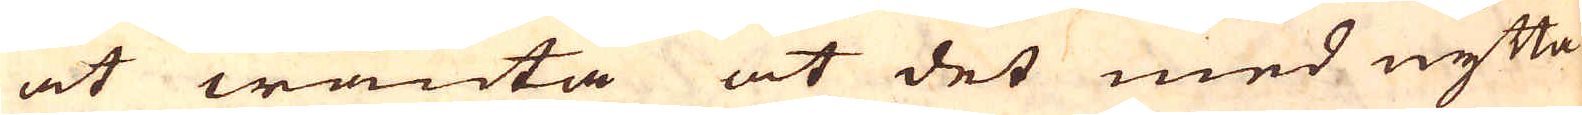at wänta at det med nytta
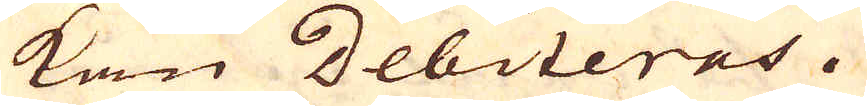kan debiteras.
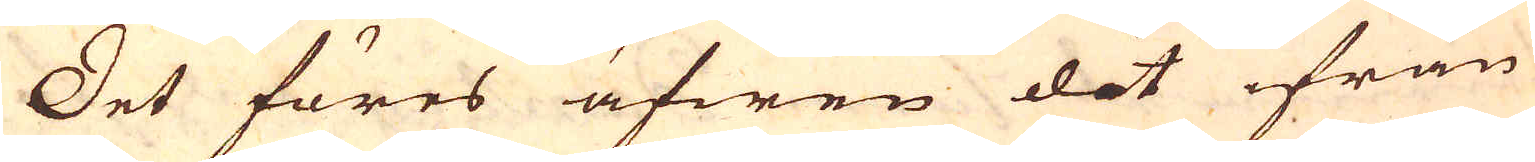Det föres äfwen dit ifrån
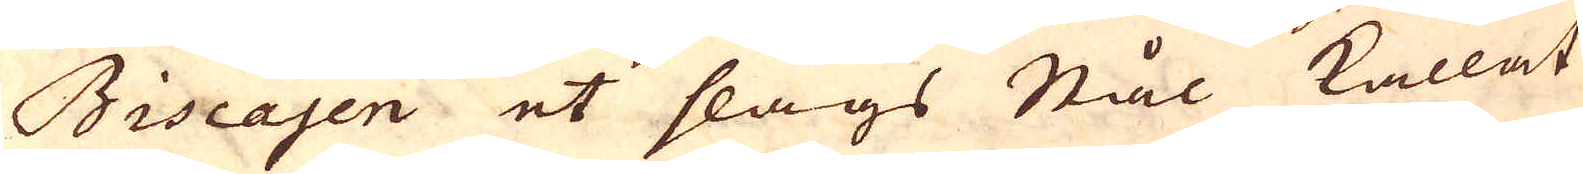Biscajen et slags Stål kallat
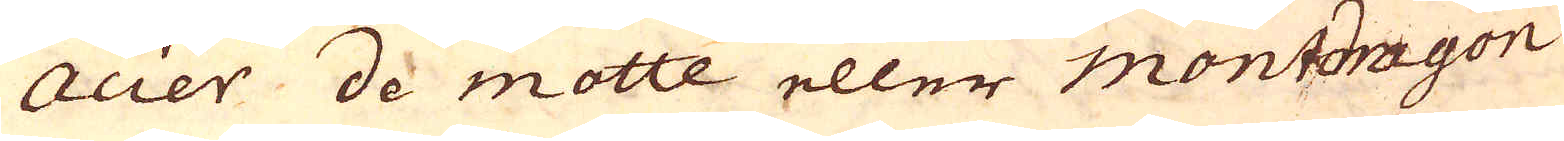acier de motte eller montdragon
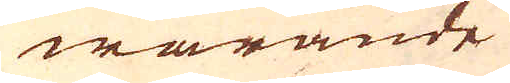warande
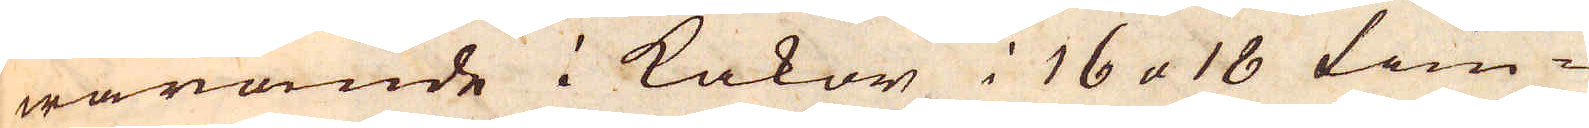warande i kakor i 16 a 18 tum-
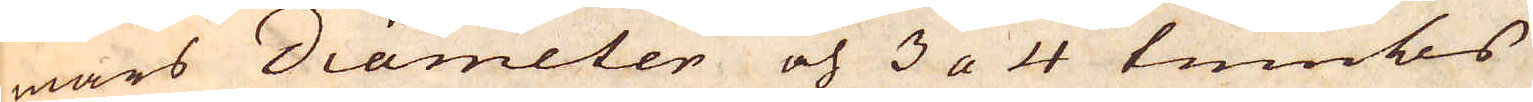mars diameter och 3 a 4 tumbs
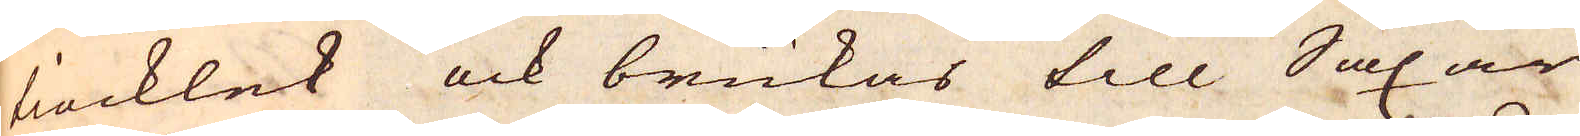tiocklek ock brukas till Saxar
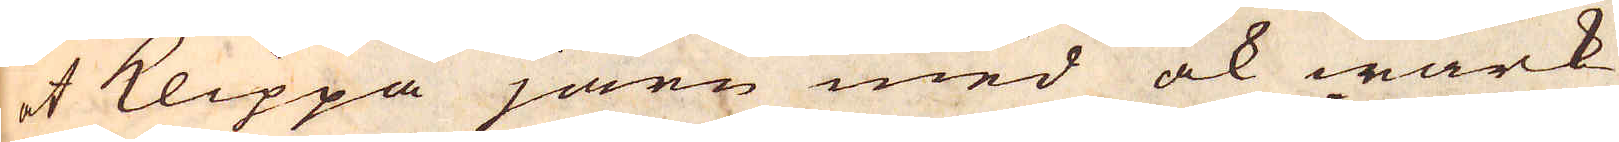at klippa järn med ock wärk-
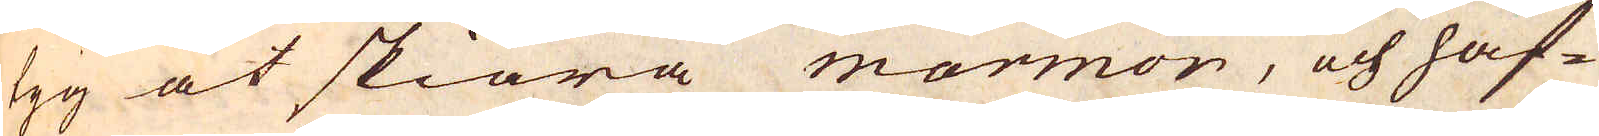tyg at skiära marmor, och haf-
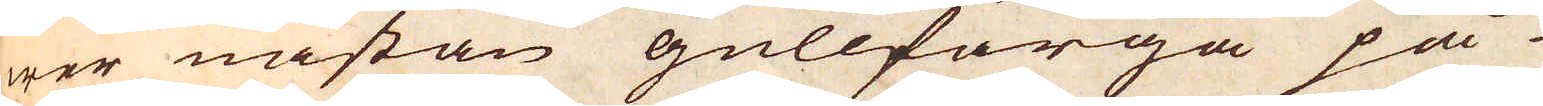wer nästan gullfärga på
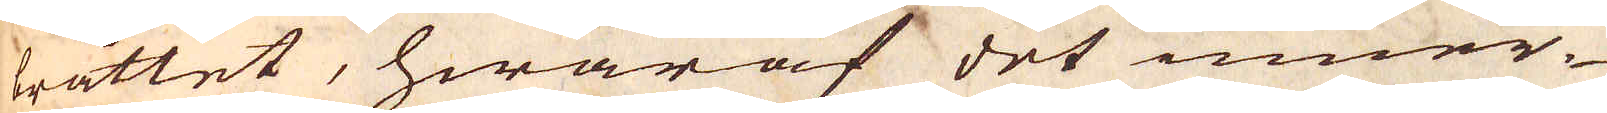bråttet, hwaraf det inner-
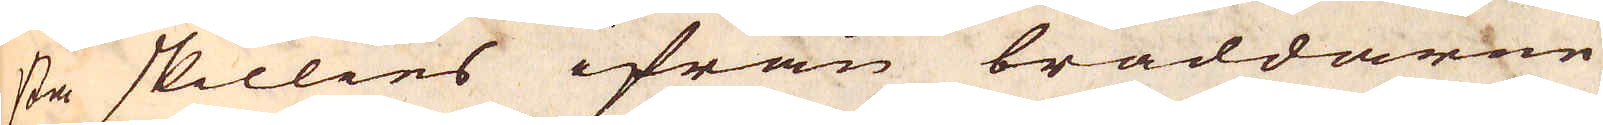sta skillies ifrån bräddarne
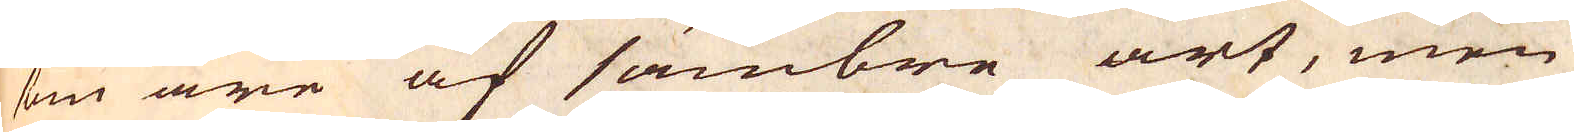som äre af sämbre art, men
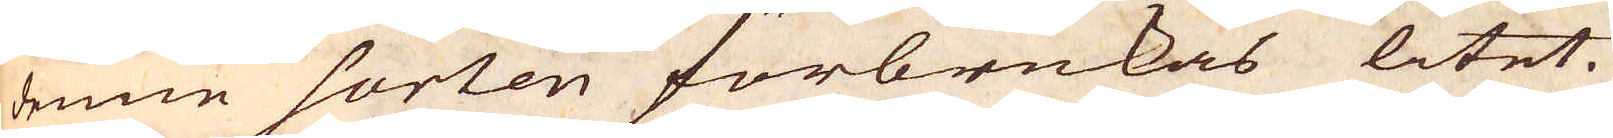denne sorten förbrukas litet.
